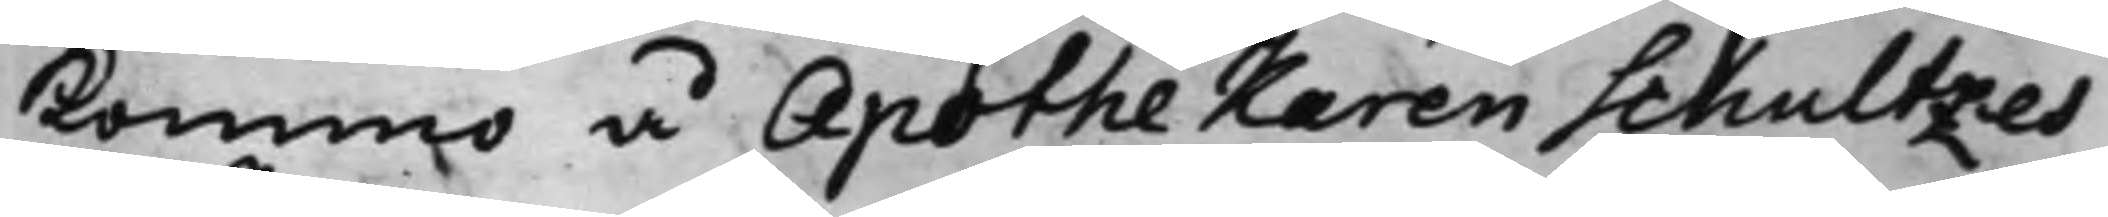kommo å Apothekaren Schultzes
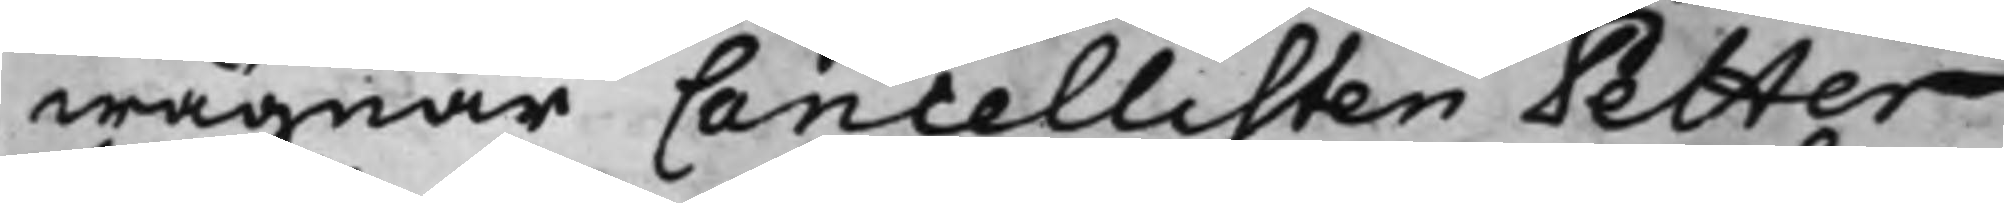wägnar Cancellisten Petter
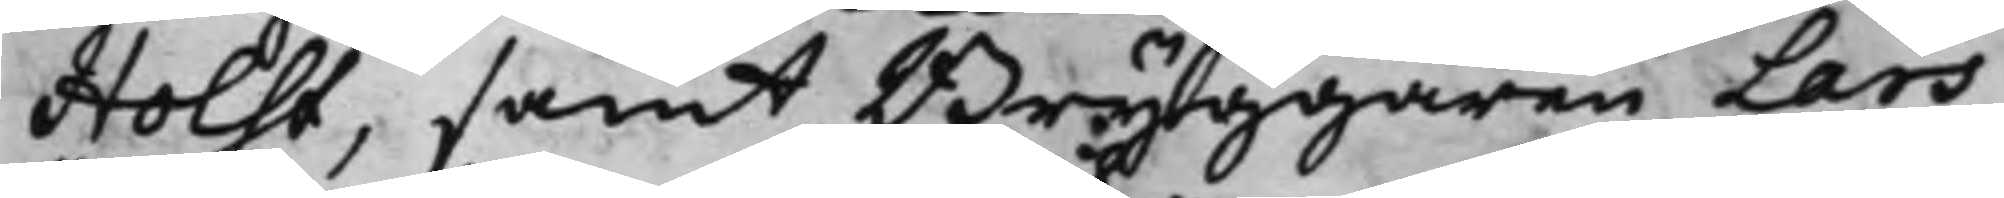Holst, samt Bryggaren Lars
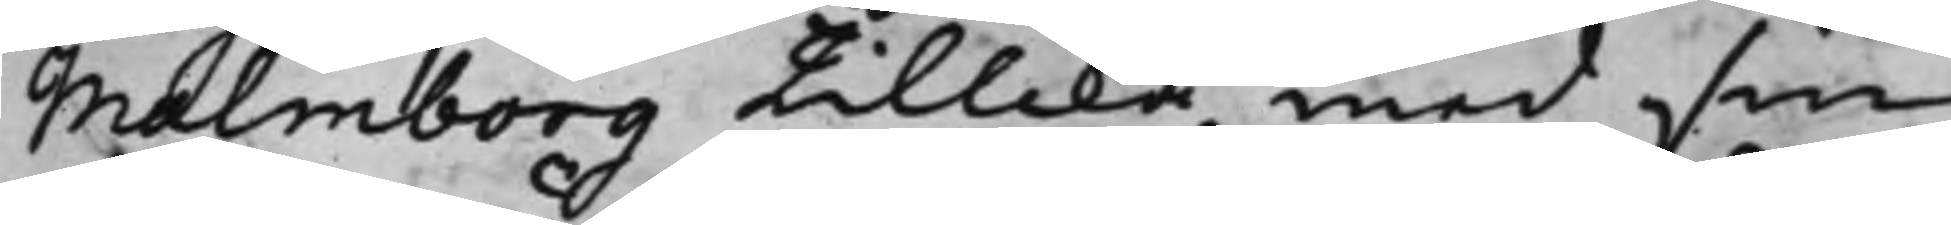Malmborg tillika med sin
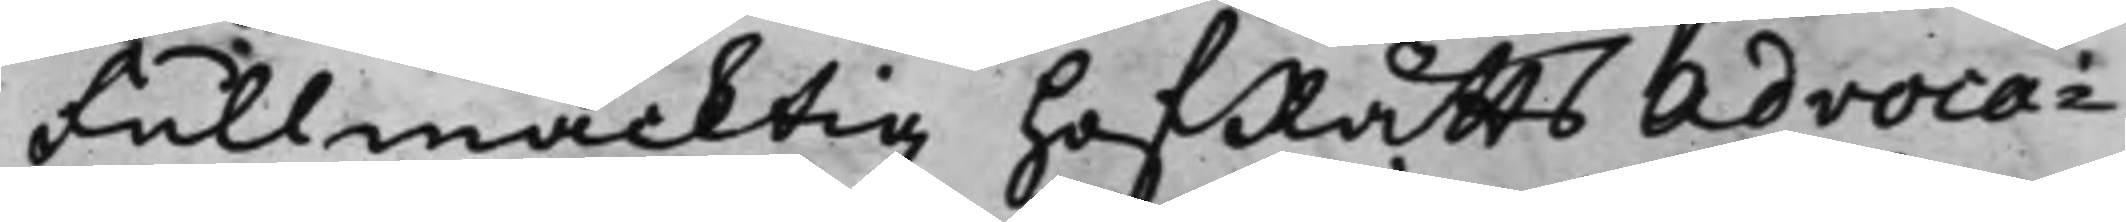Fullmäcktig HofRätts Advoca¬
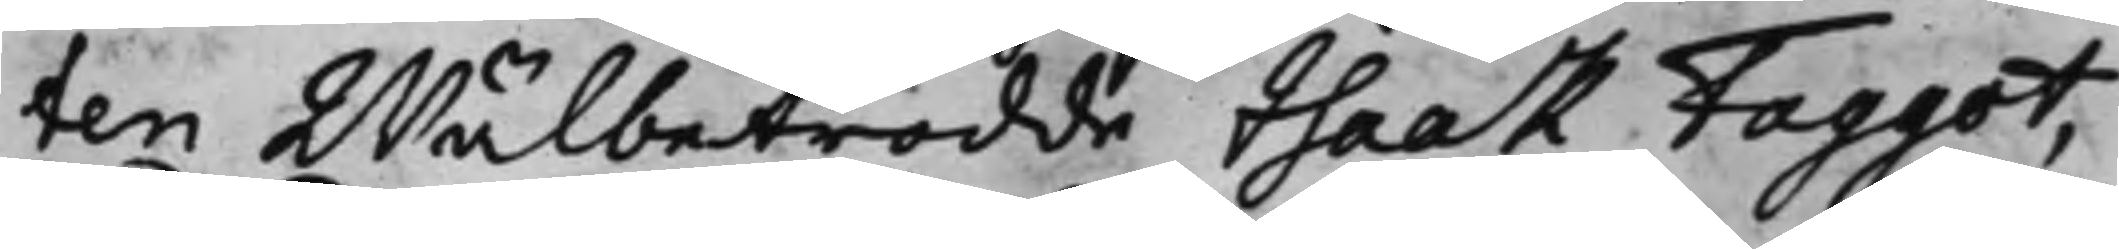ten Wälbetrodde Isaak Faggot,
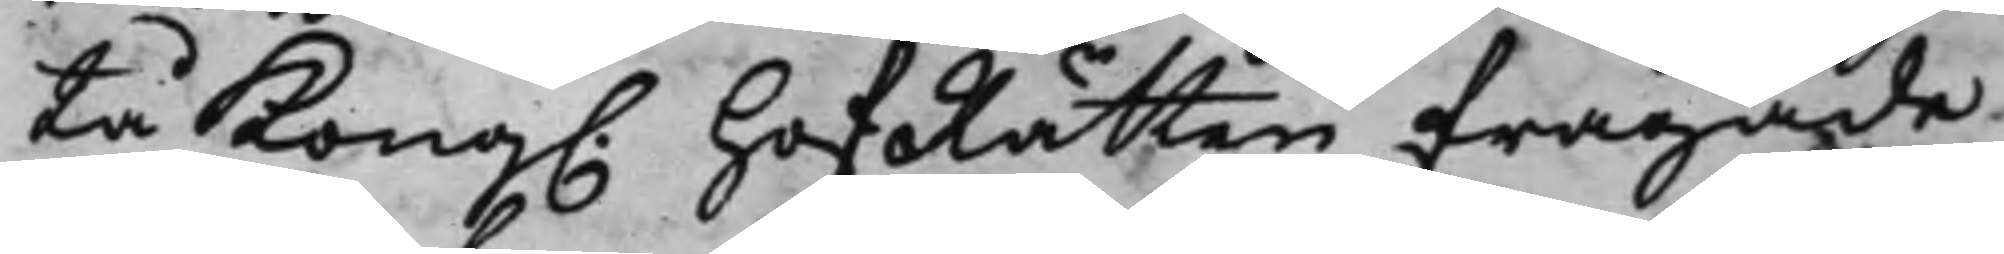tå Kong. HofRätten frågade
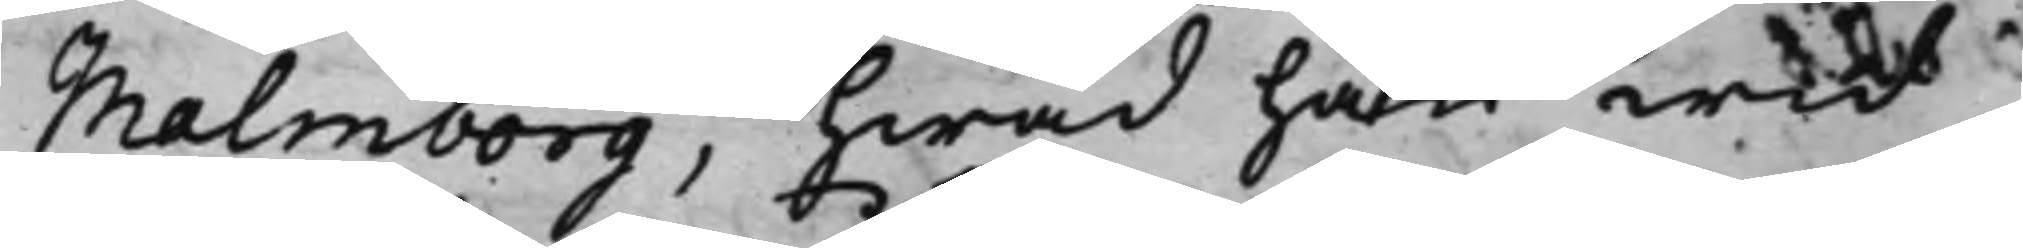Malmborg, hwad han wid
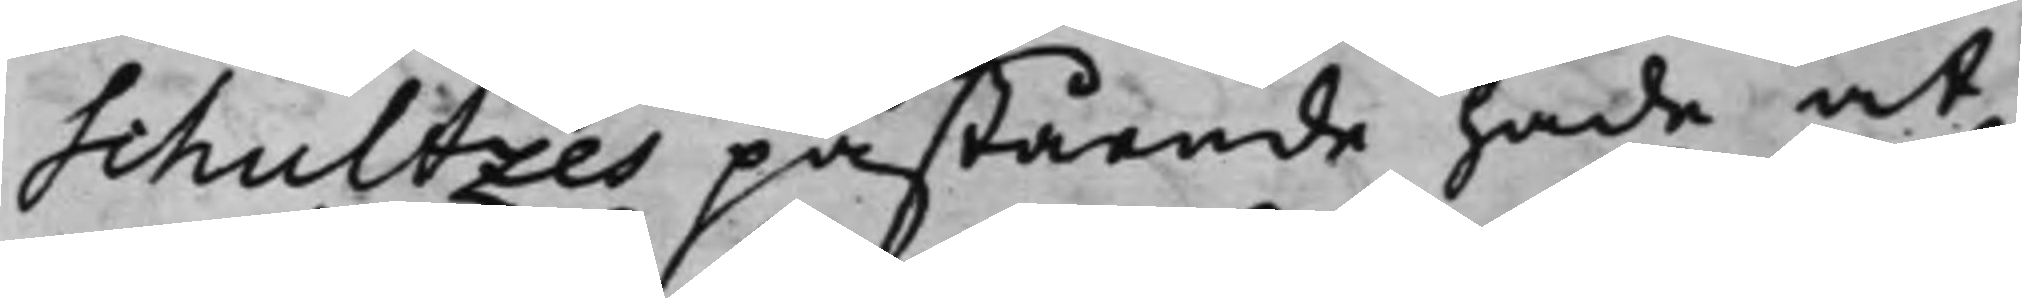Schultzes påstående hade at
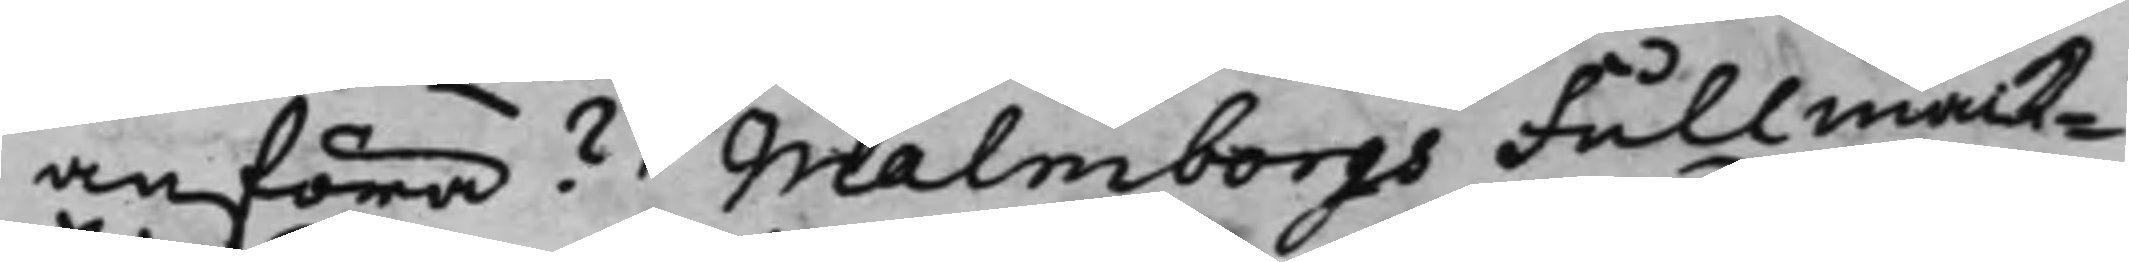anföra? Malmborgs Fullmäck¬
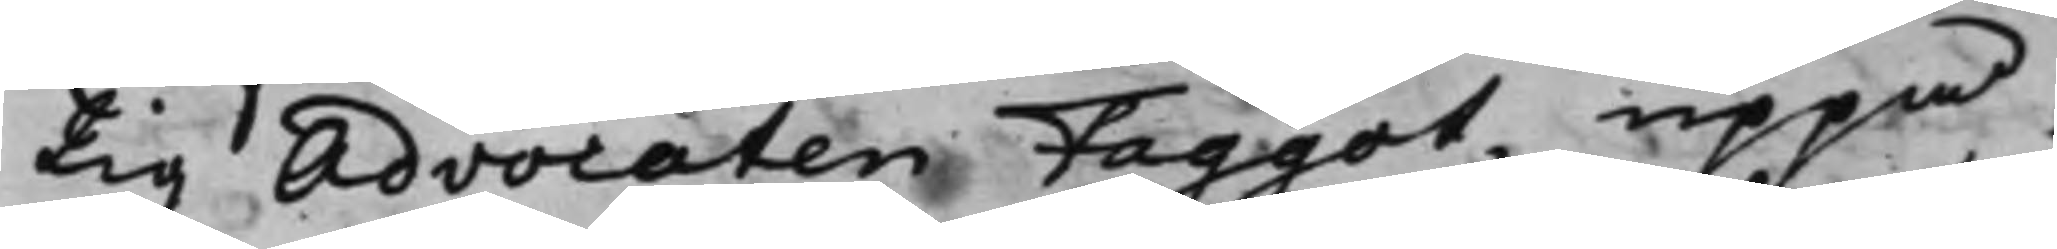tig Advocaten Faggot, uppå
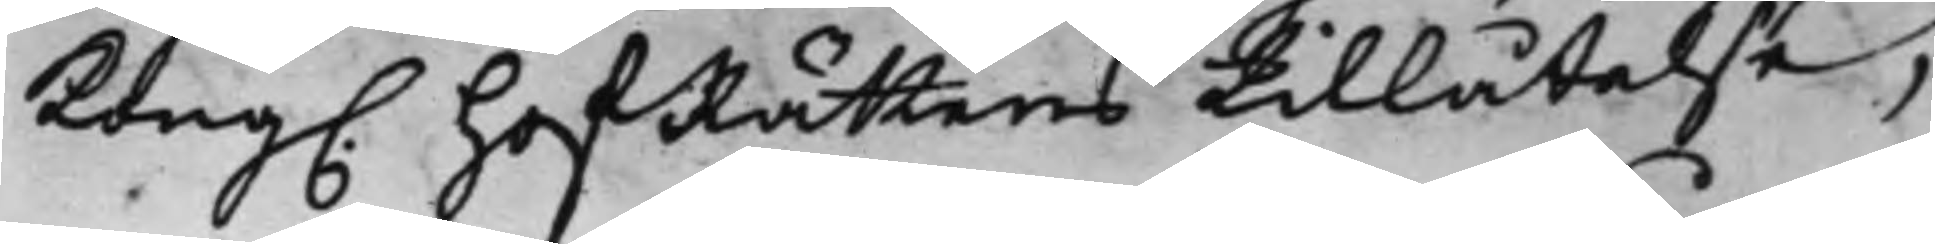Kong. HofRättens tillåtelse,
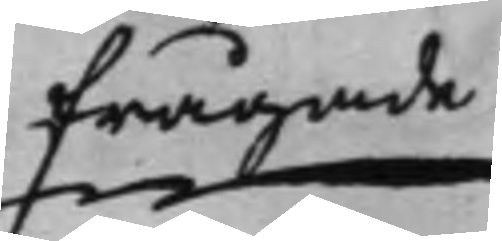frågade
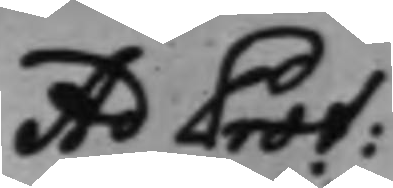Ad Prot:
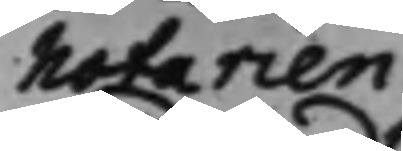Notarien
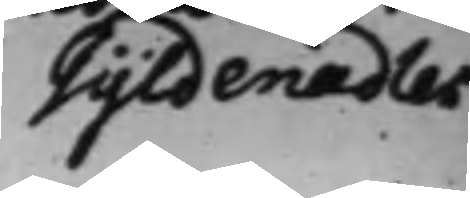Gyldenadler
